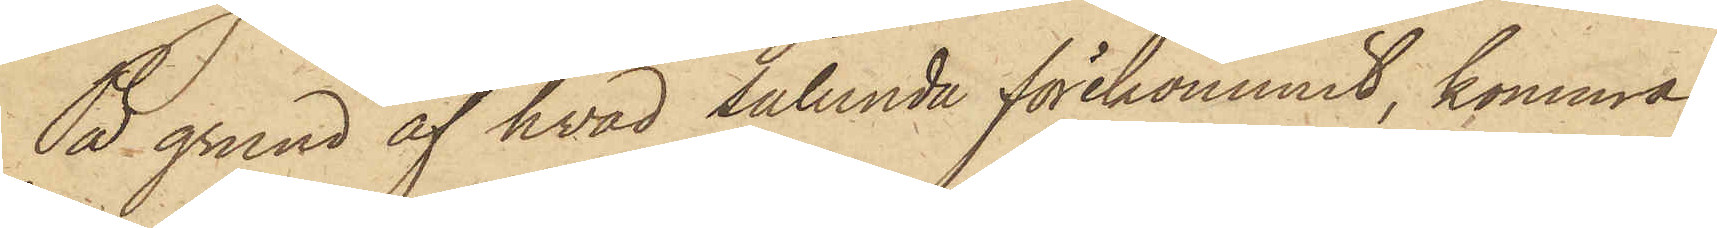På grund af hvad sålunda förekommit, komma
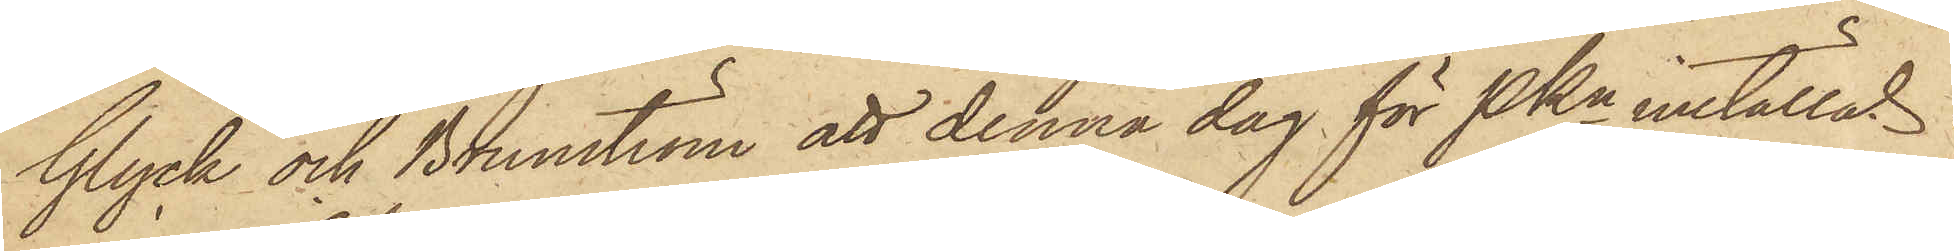Glyck och Brunström att denna dag för PKn inställas.
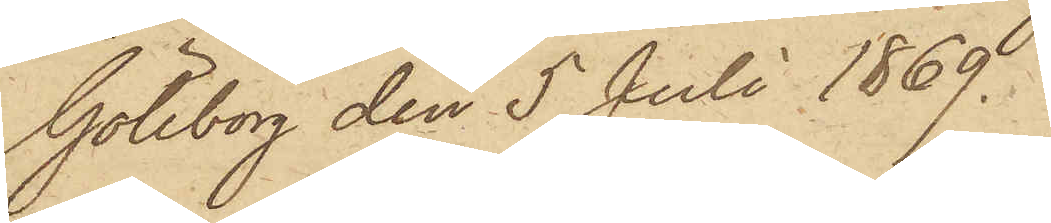Göteborg den 5 Juli 1869.
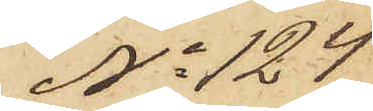No 124
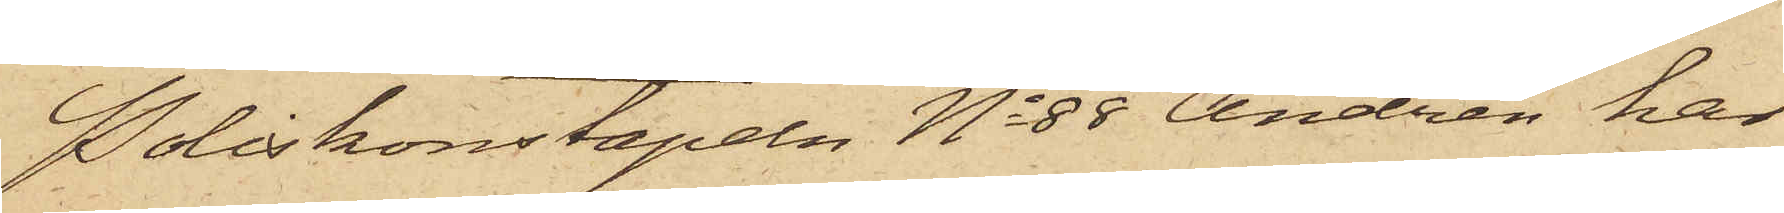Poliskonstapeln No 88 Andrén har
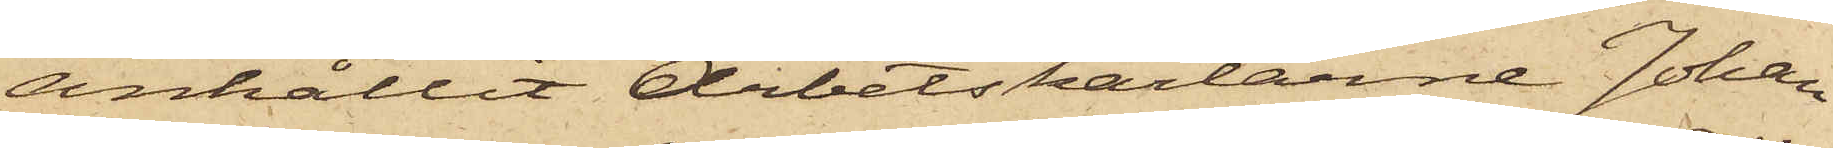anhållit Arbetskarlarne Johan
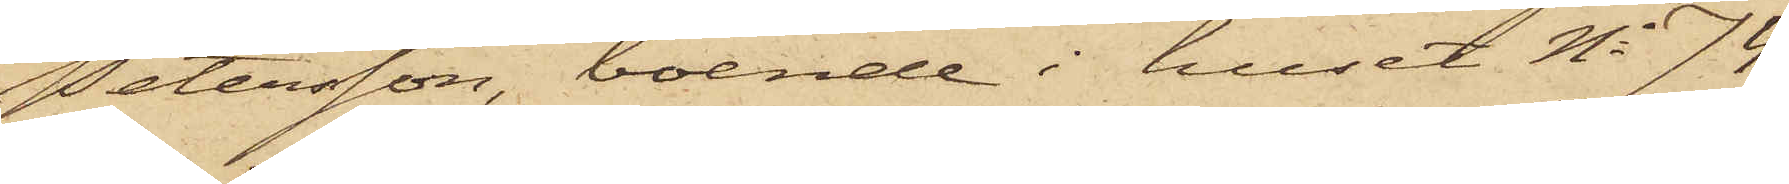Petersson, boende i huset No 74
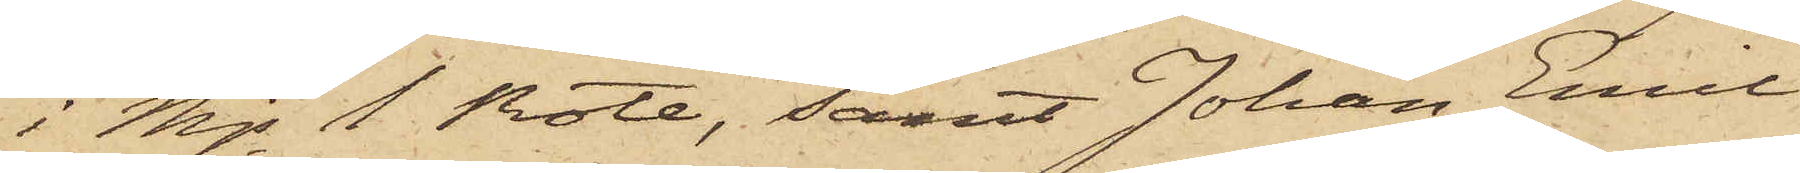i Mjs 1 Rote, samt Johan Emil
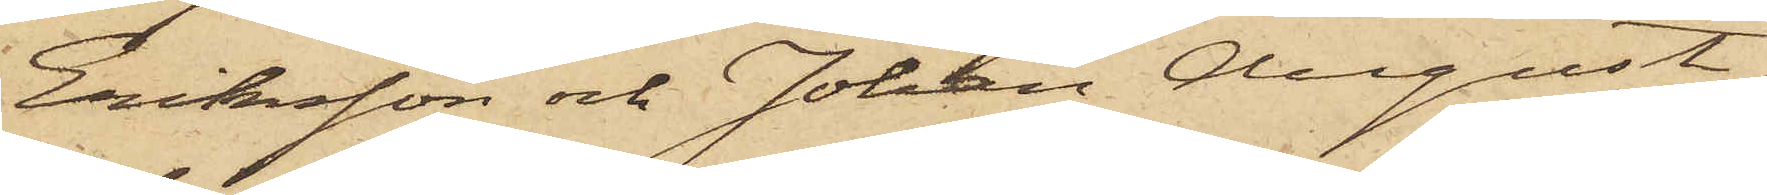Eriksson och Johan August
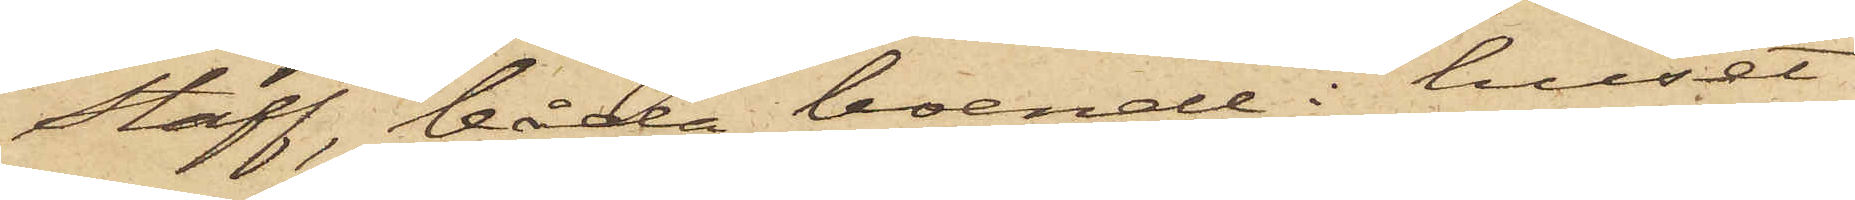Staff, båda boende i huset
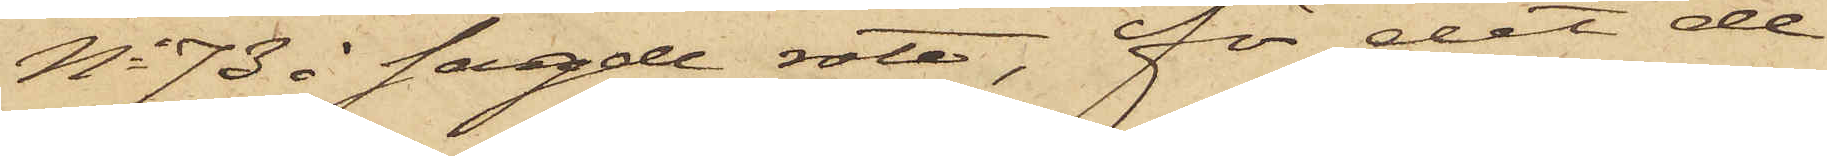No 73 i sagde rote, för det de
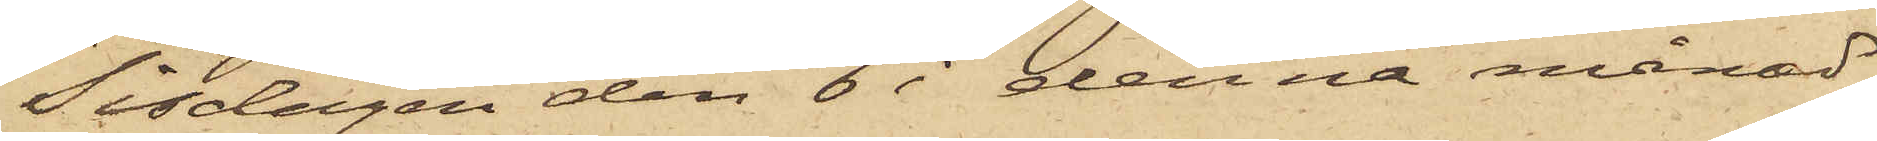Tisdagen den 6 i denna månad
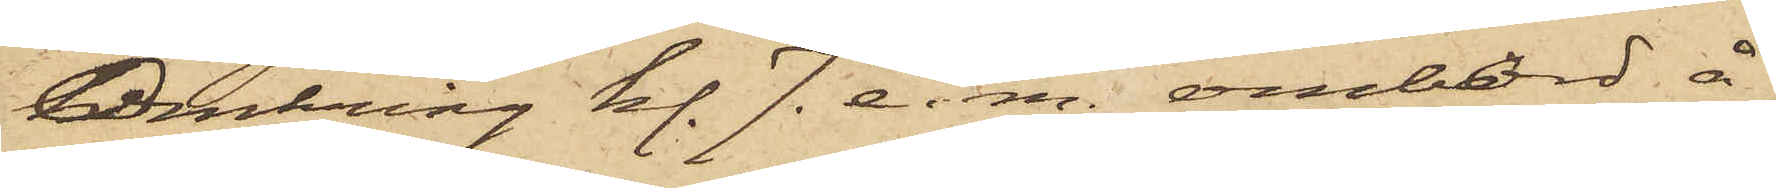Omkring kl. 7. e. m. ombord å
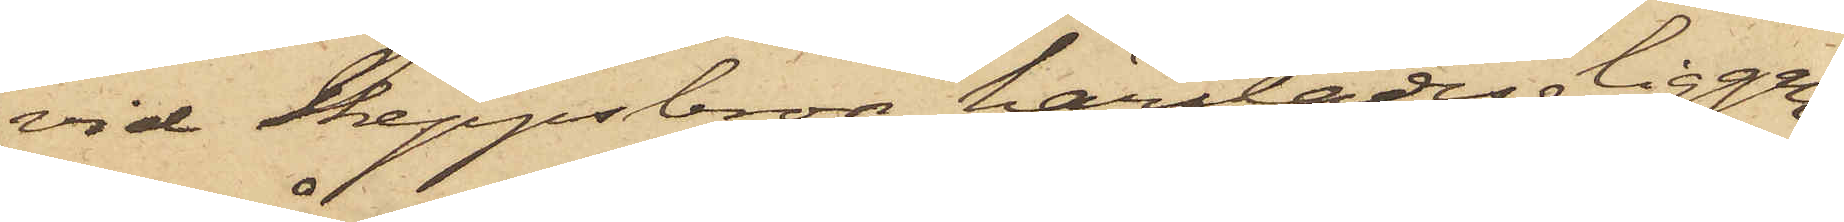vid Skeppsbron härstädes liggan¬
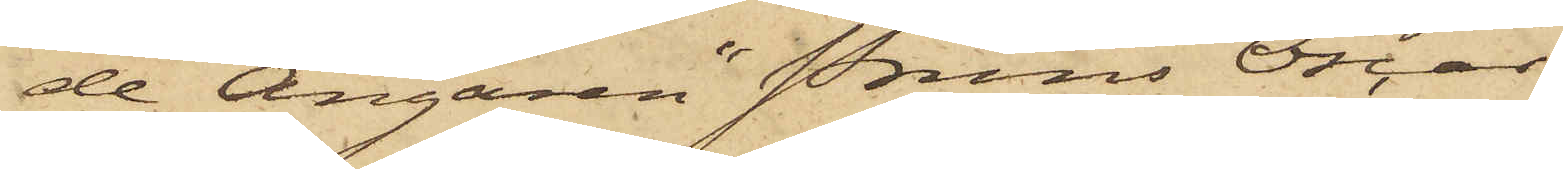de Ångaren "Prins Oscar"
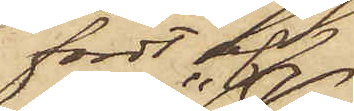fördt af
